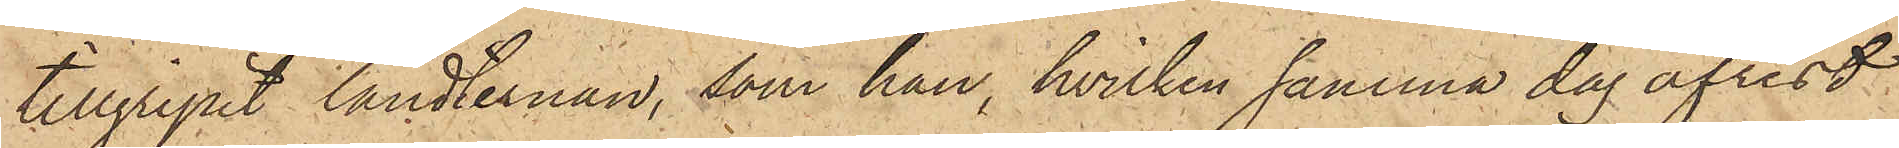tillgripit landternan, som han, hvilken samma dag afrest
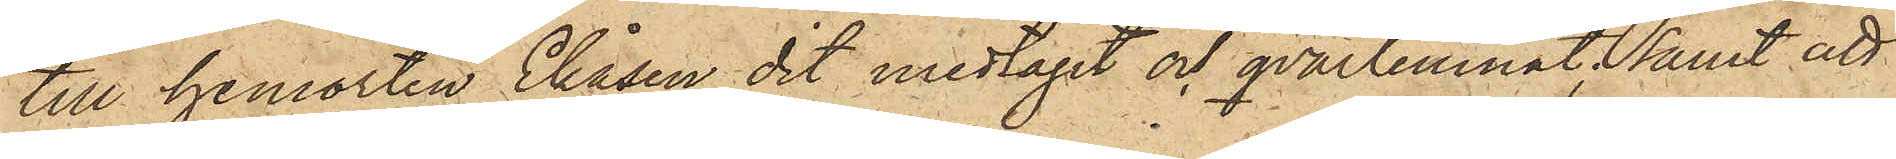till hemorten Ekåsen, dit medtagit och qvarlemnat, samt att
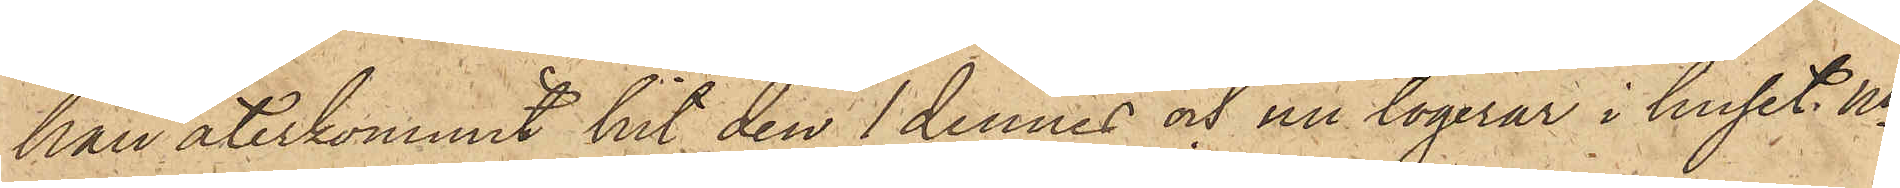han återkommit hit den 1 dennes och nu logerar i huset No
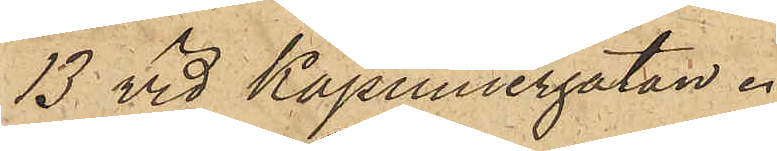13 vid Kapuniergatan.
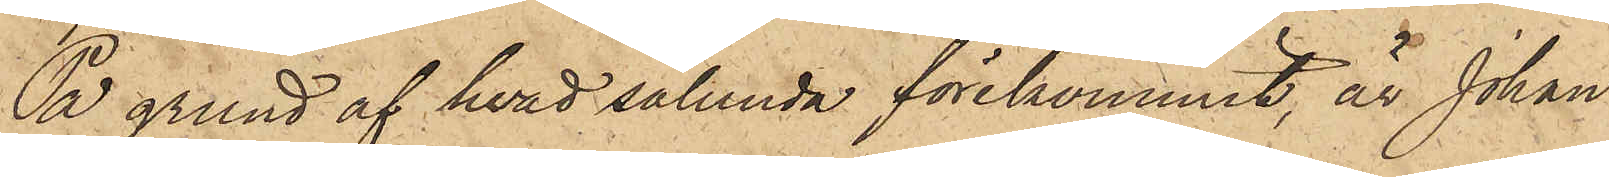På grund af hvad sålunda förekommit, är Johan
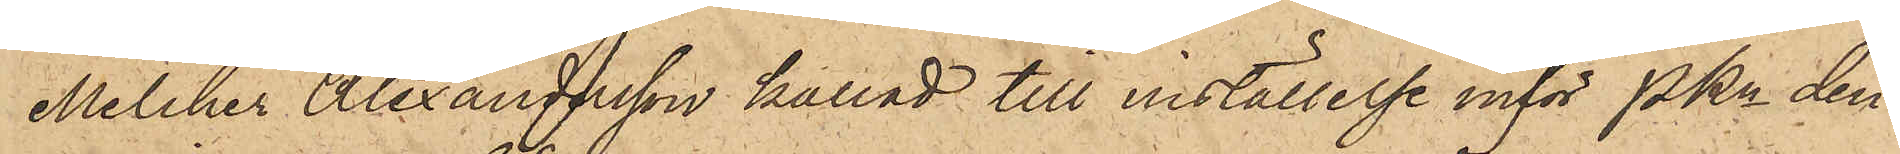Melcher Alexandersson kallad till inställelse inför Pkn den¬
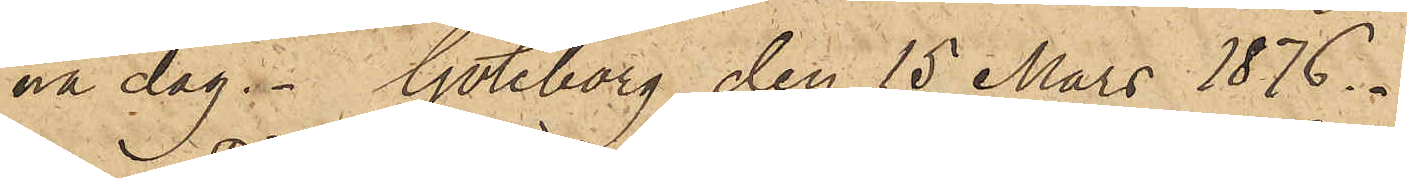na dag. Göteborg den 15 Mars 1876.
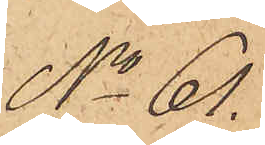No 61.
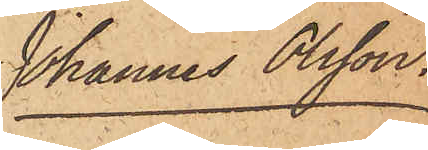Johannes Olsson.
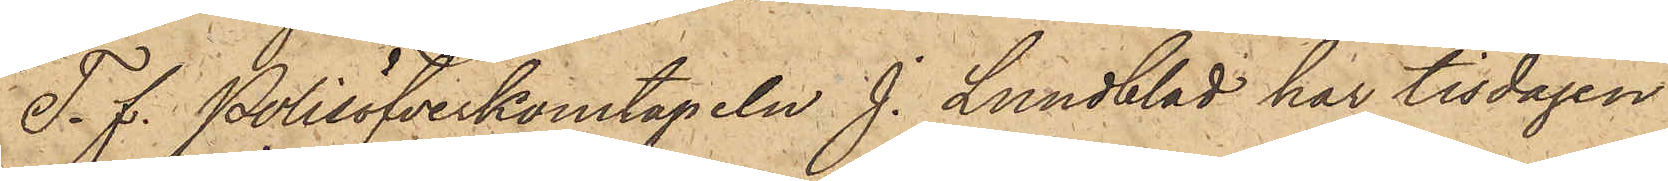T. f. Polisöfverkonstapeln J. Lundblad har tisdagen
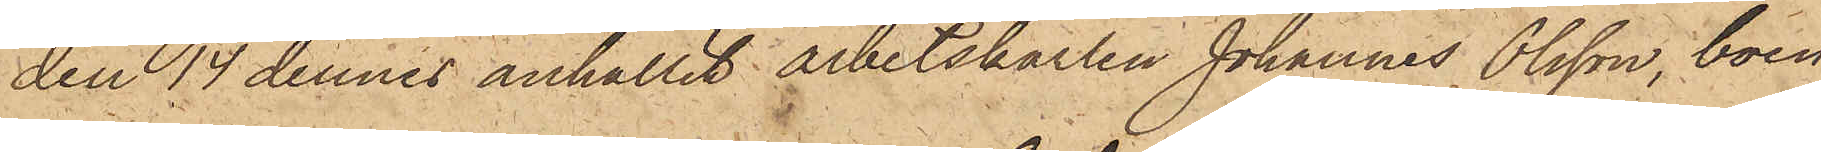den 14 dennes anhållit arbetskarlen Johannes Olsson, boen¬
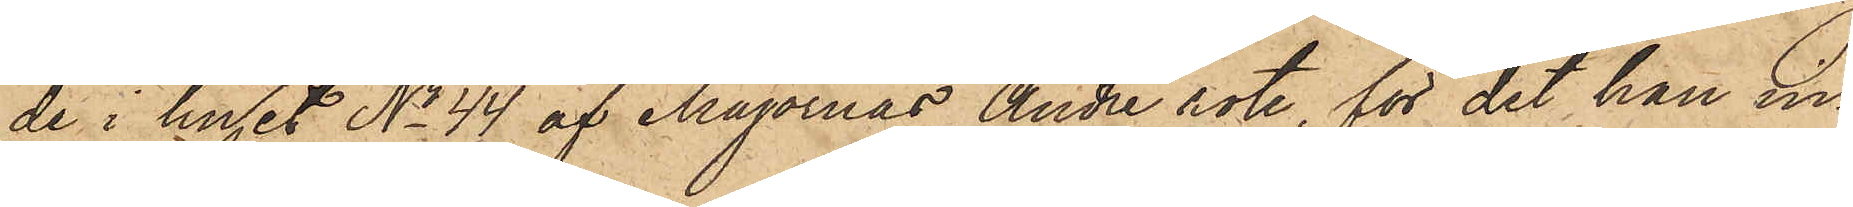de i huset No 44 af Majornas Andre rote, för det han in¬
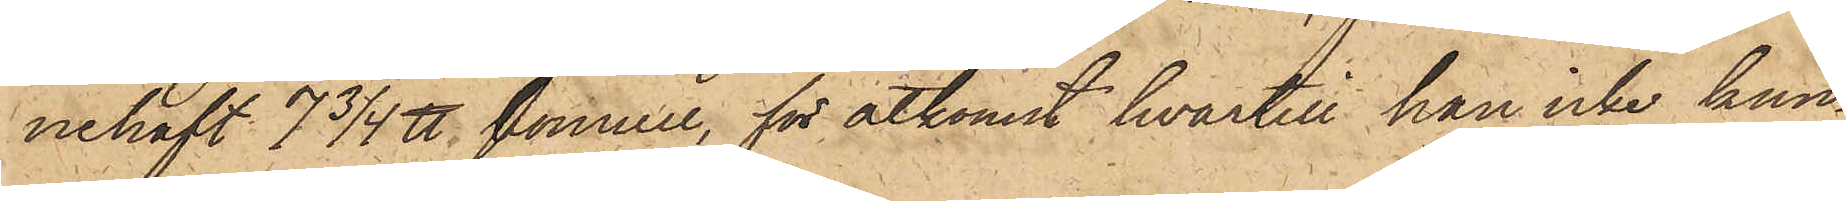nehaft 7 3/4 ℔ bomull, för åtkomst hvartill han icke kun¬
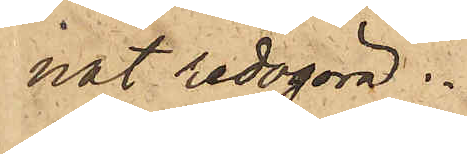nat redogöra.
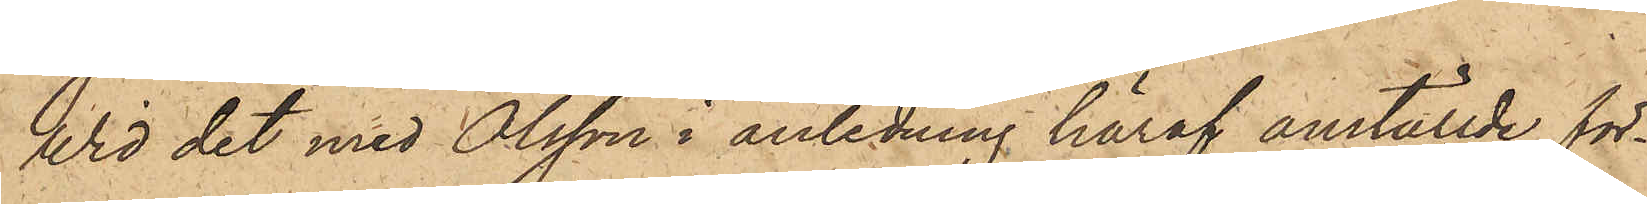Wid det med Olsson i anledning häraf anställde för¬
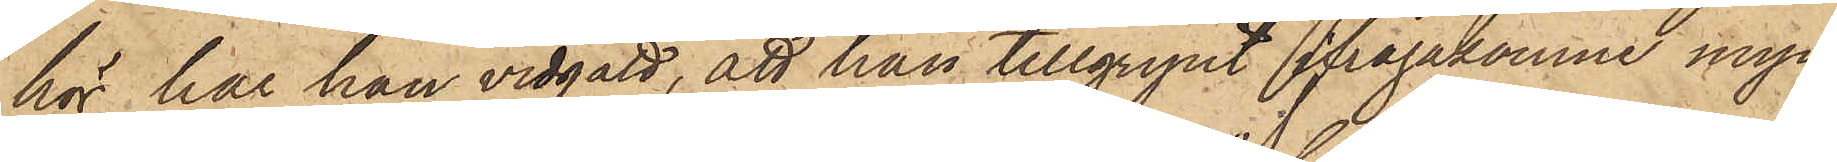hör har han vidgått, att han tillgripit ifrågakomne myc¬
